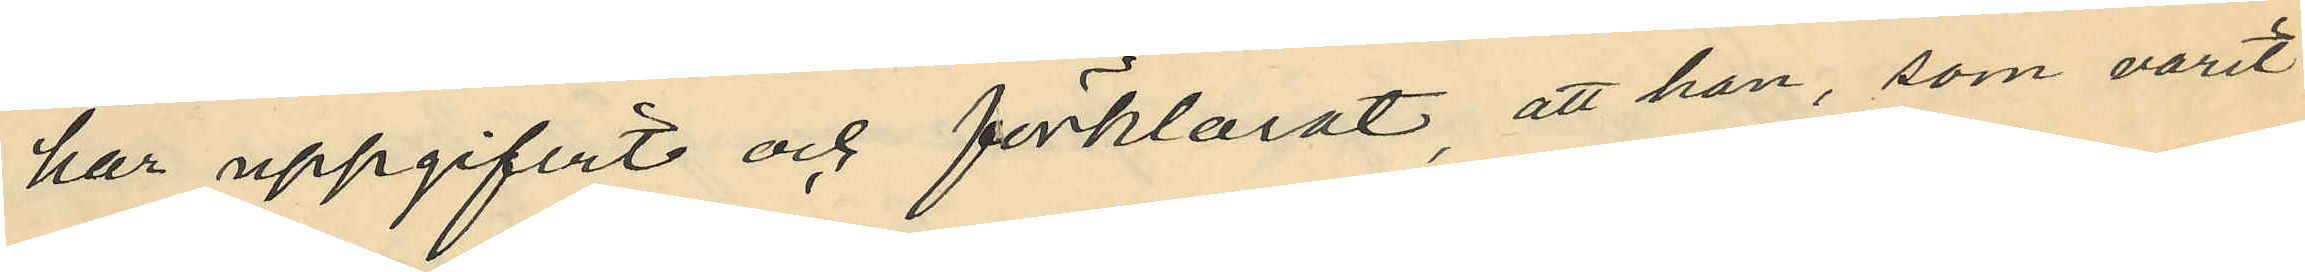har uppgifvit och förklarat, att han, som varit
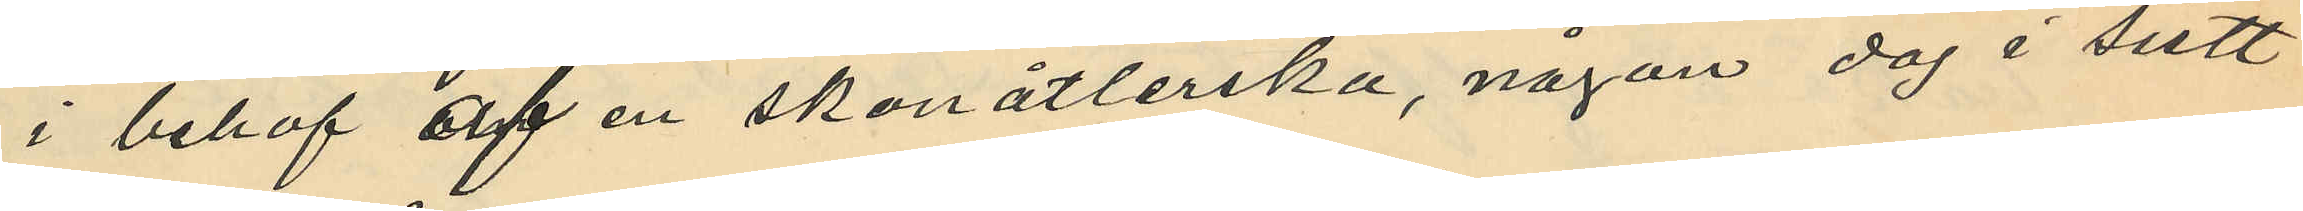i behof af en skonåtlerska, någon dag i sistt
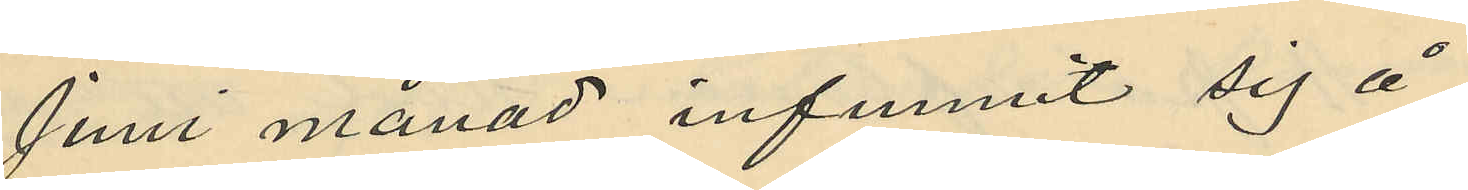Juni månad infunnit sig å
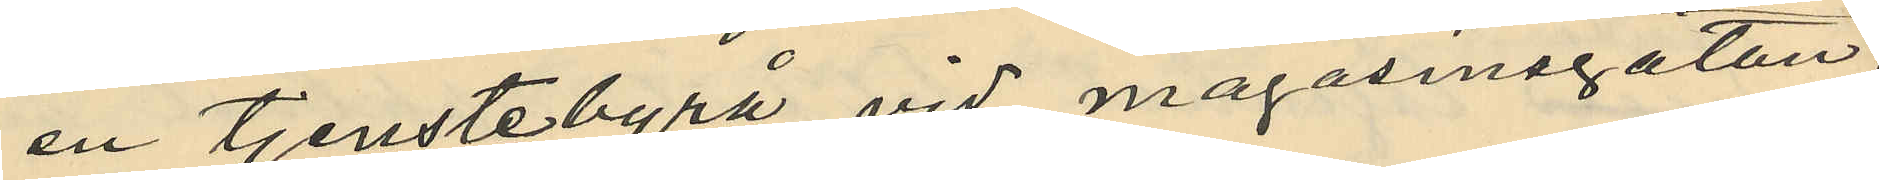en tjenstebyrå vid magasinagatan.
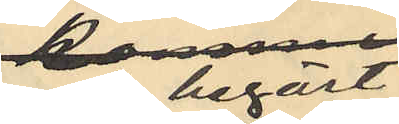och begärt
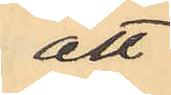att
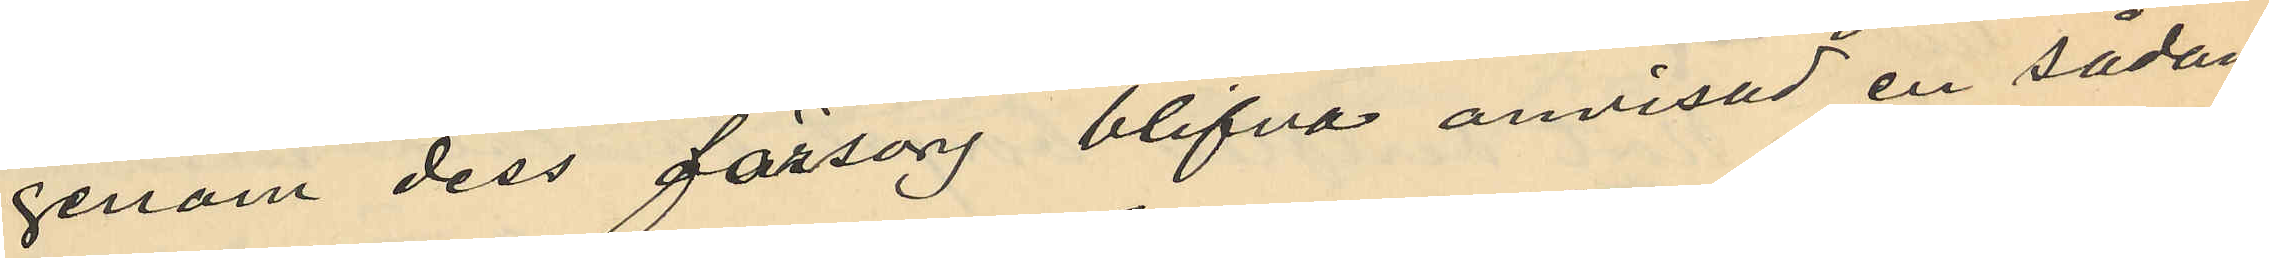genom dess försorg blifva anvisad en sådan
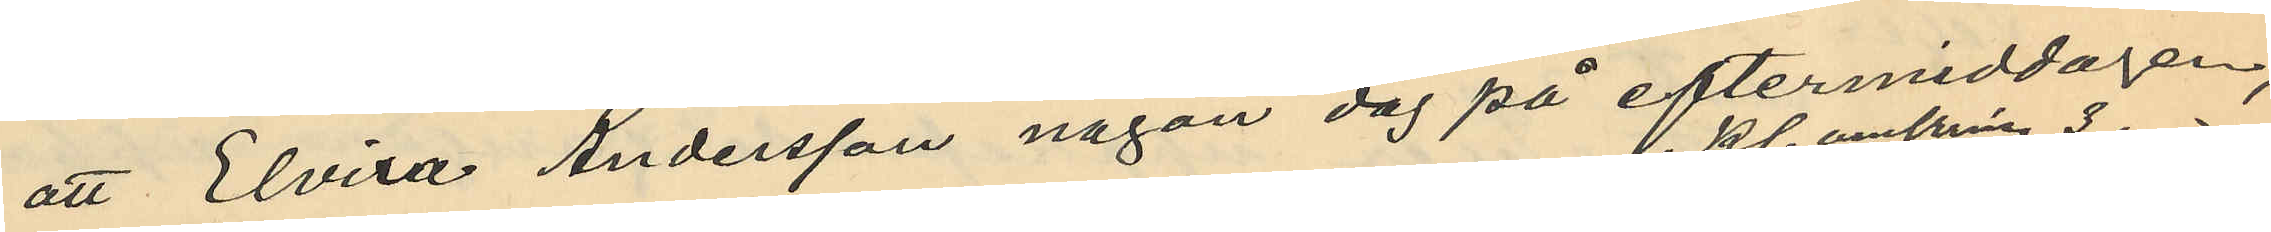att Elvira Andersson någon dag på eftermiddagen,
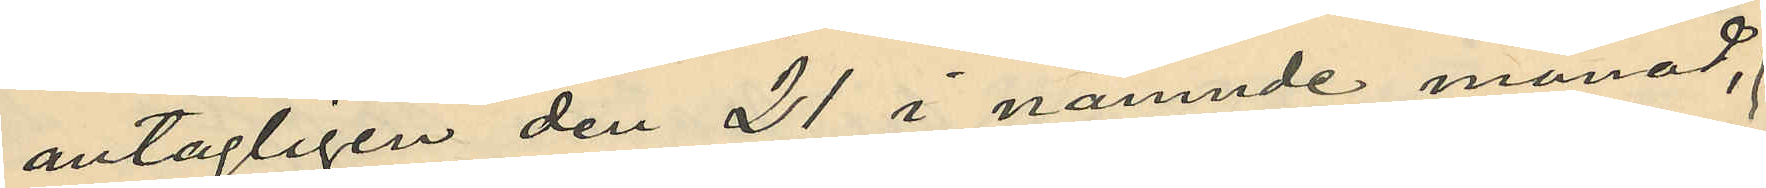antagligen den 21 i nämnde månad,
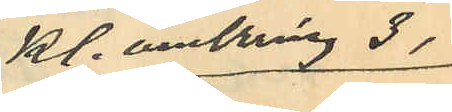kl. omkring 3 
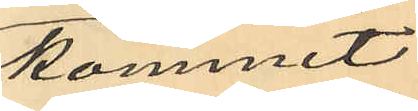kommit
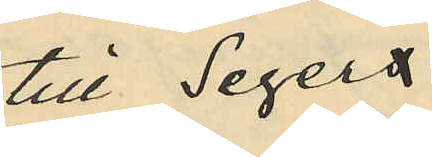till Segers
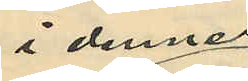i dennes
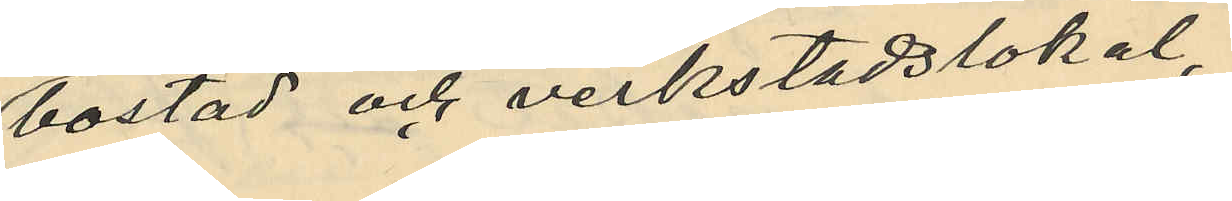bostad och verkstadslokal,
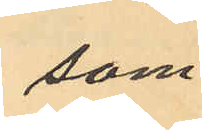som
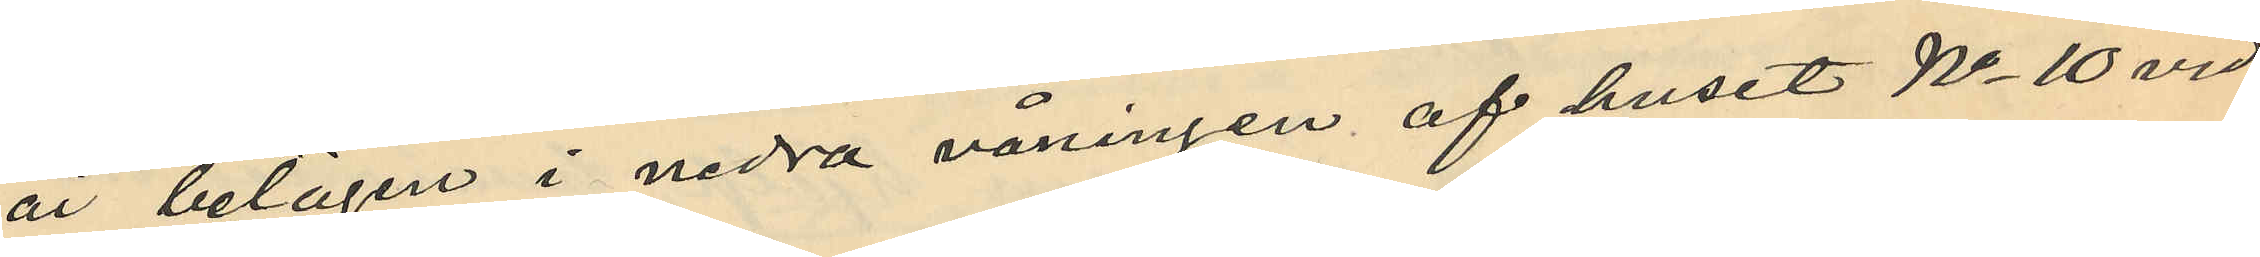är belägen i nedra våningen af huset No 10 vid
